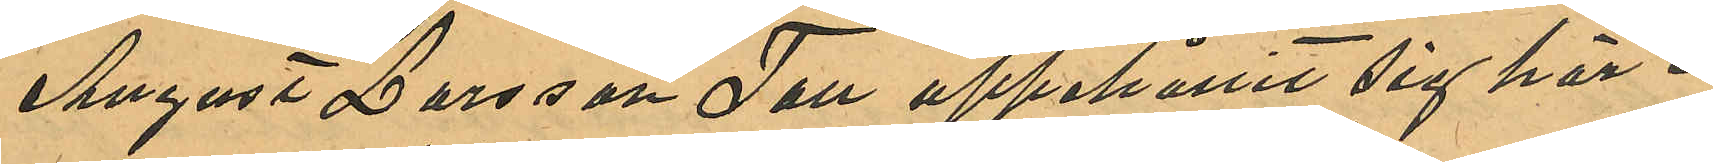August Larsson Tall uppehållit sig här i
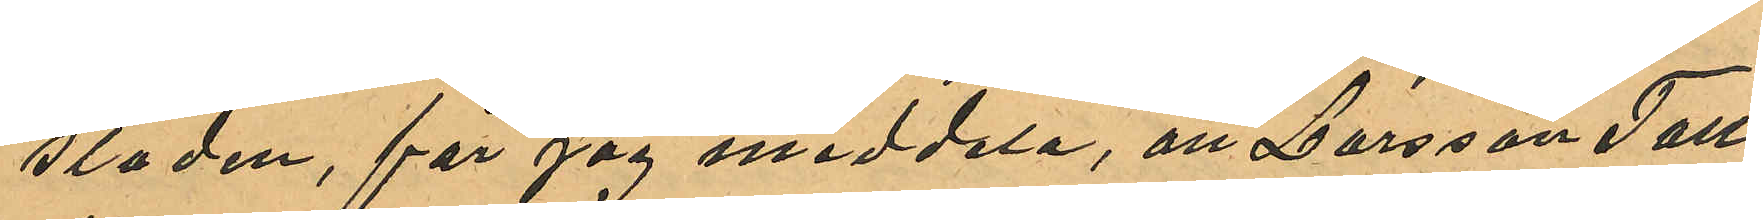staden, får jag meddela, att Larsson Tall
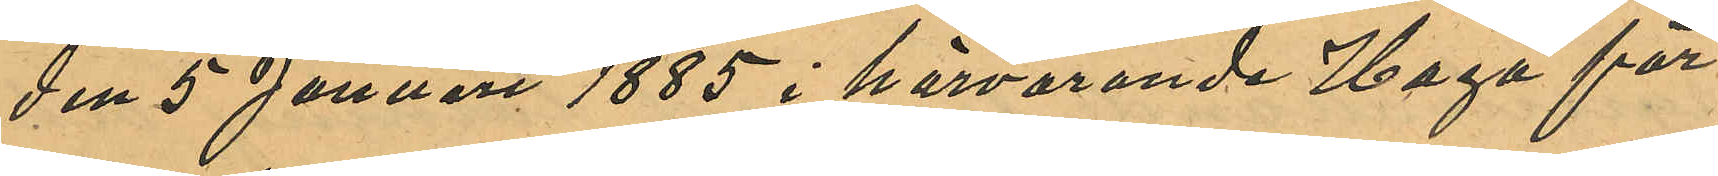den 5 Januari 1885 i härvarande Haga för
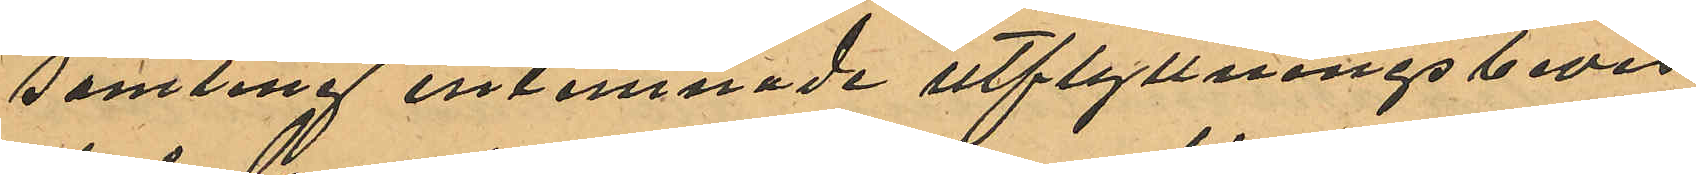samling inlemnade utflyttningsbevis
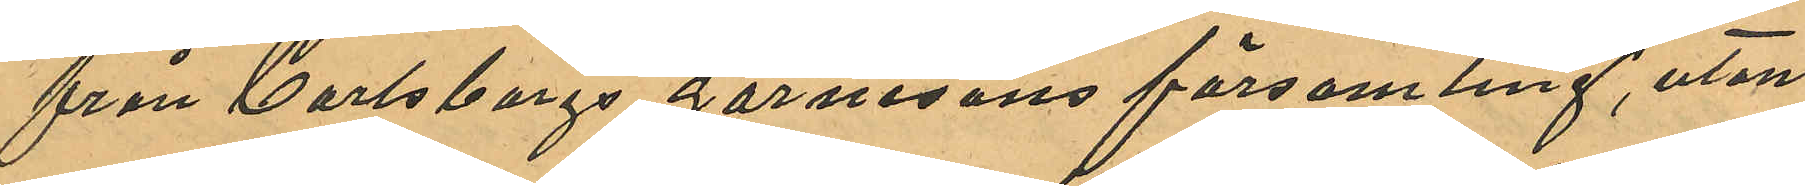från Carlsborgs garnisons församling, utan
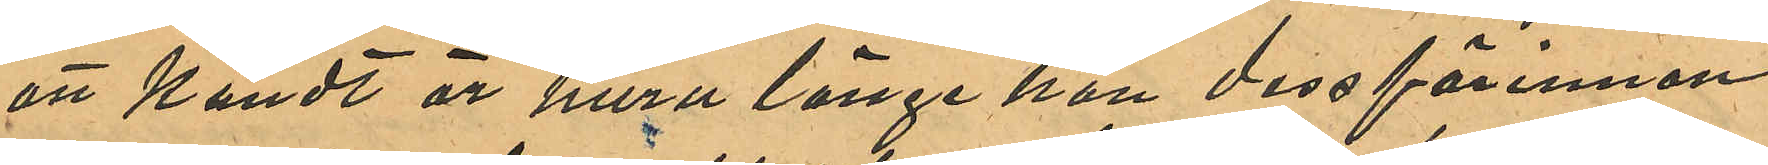att kändt är huru länge han dessförinnan
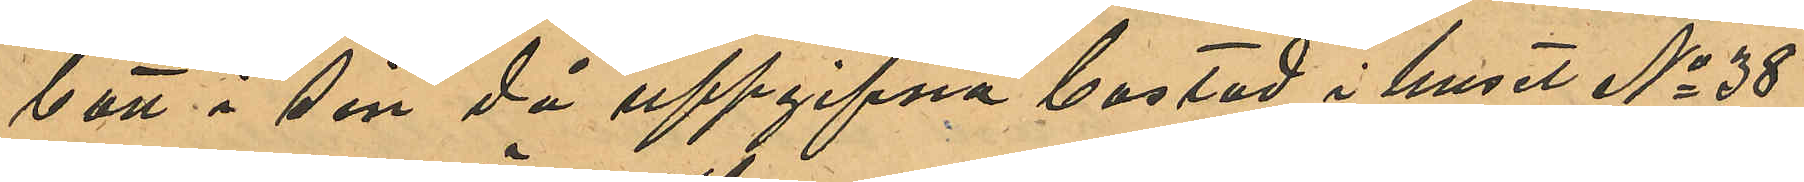bott i sin då uppgifna bostad i huset No 38
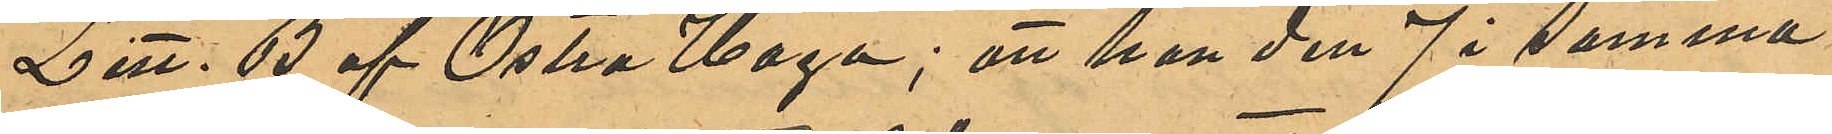Litt. B af Östra Haga; att han den 7 i samma
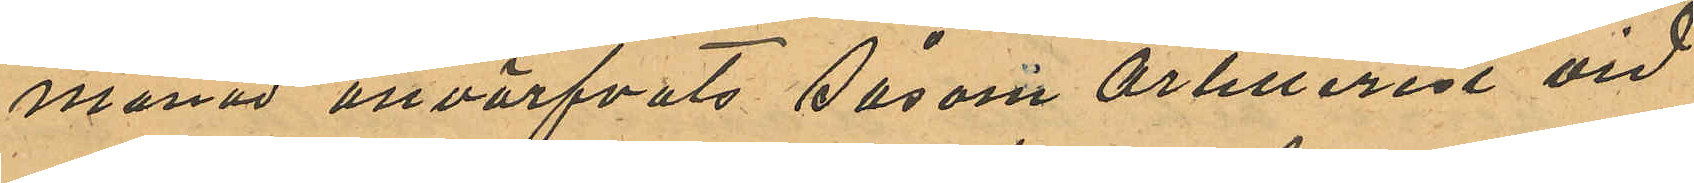månad anvärfvats såsom Artillerist vid
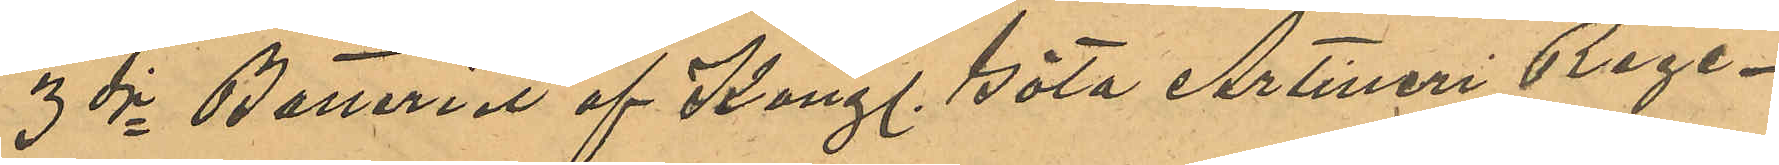3dje Batteriet af Kongl. Göta Artilleri Rege¬
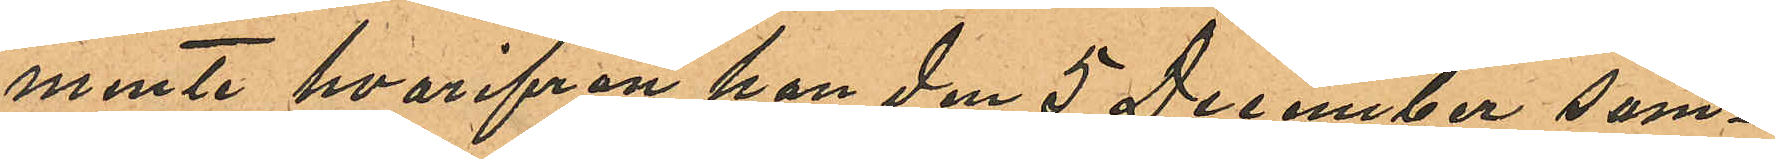mente hvarifrån han den 5 December sam¬
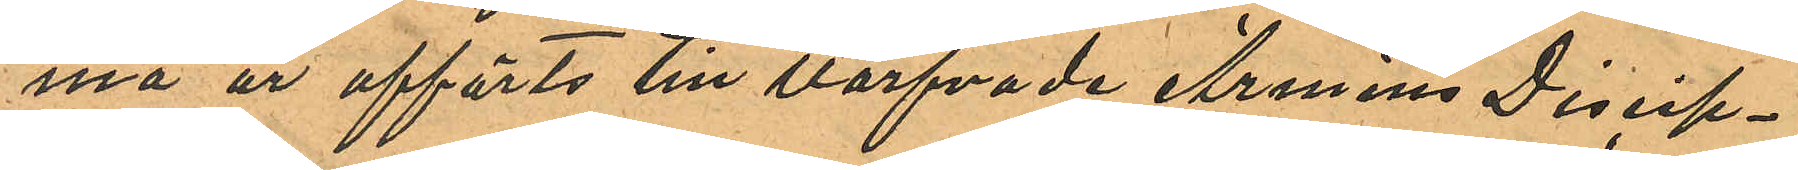ma år afförts till värfvade Arméns Discip¬
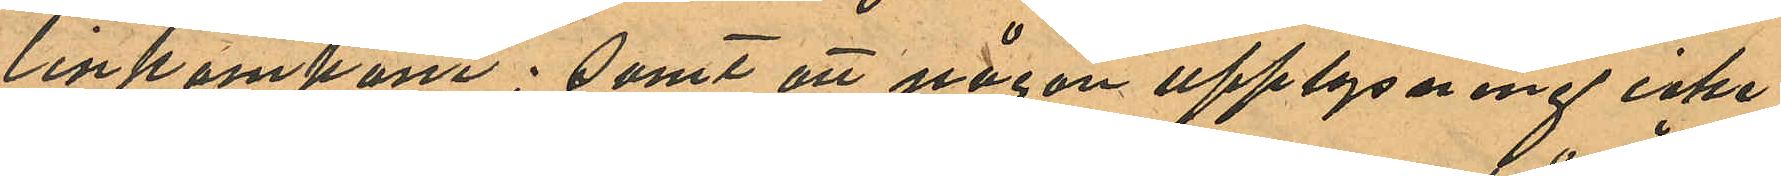linkompani; samt att någon upplysning icke
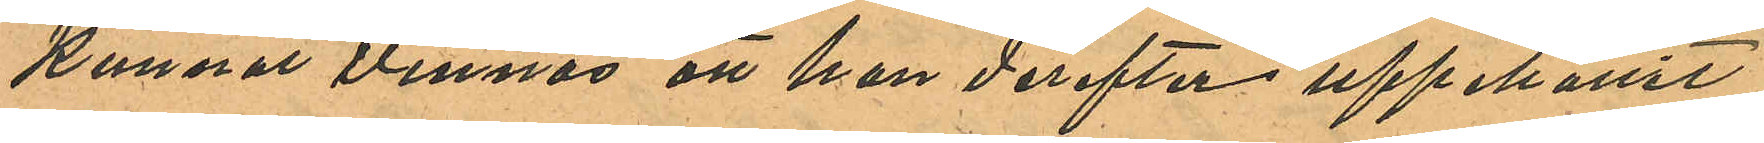kunnat vinnas att han derefter uppehållit
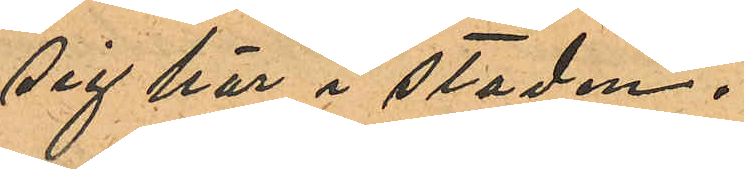sig här i staden.
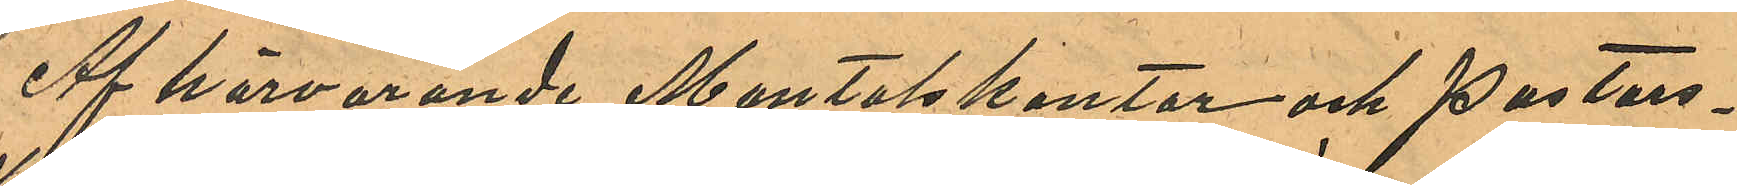Af härvarande Mantalskontor och Pastors¬
